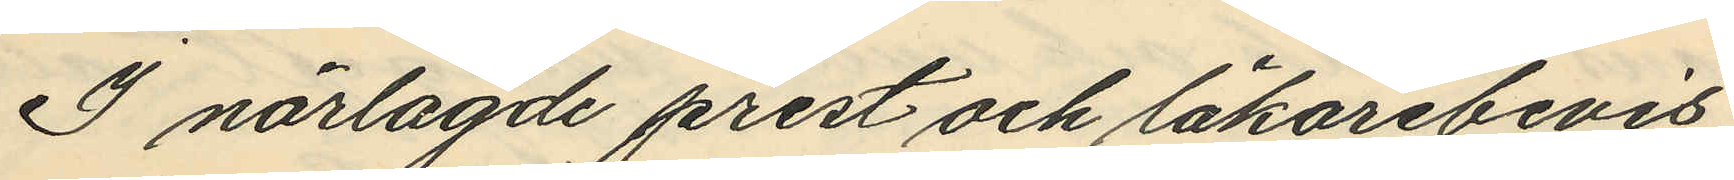I närlagde prest och läkarebevis
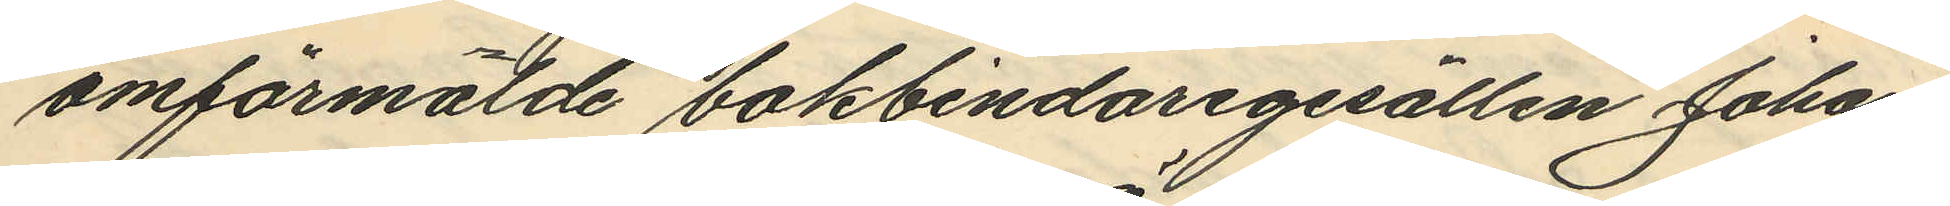omförmälde bokbindaregesällen Johan
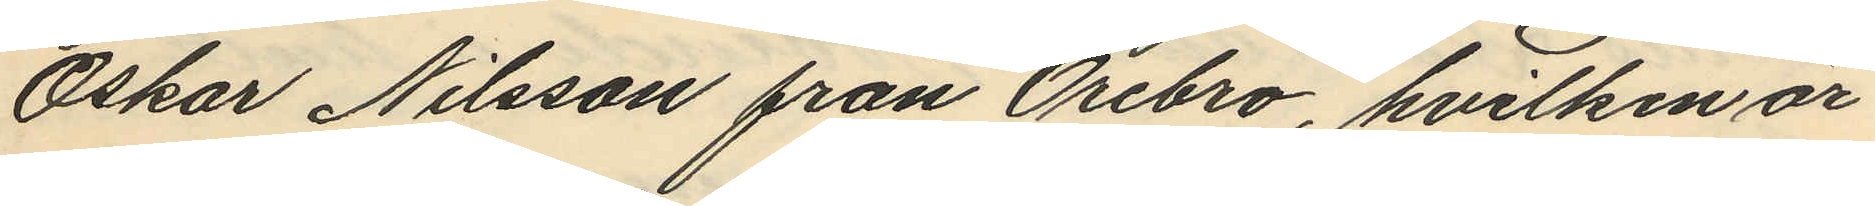Oskar Nilsson från Örebro, hvilken är
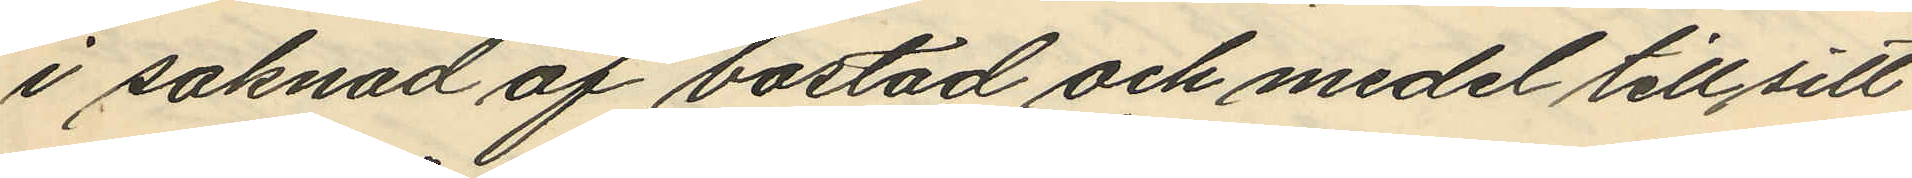i saknad af bostad och medel till sitt
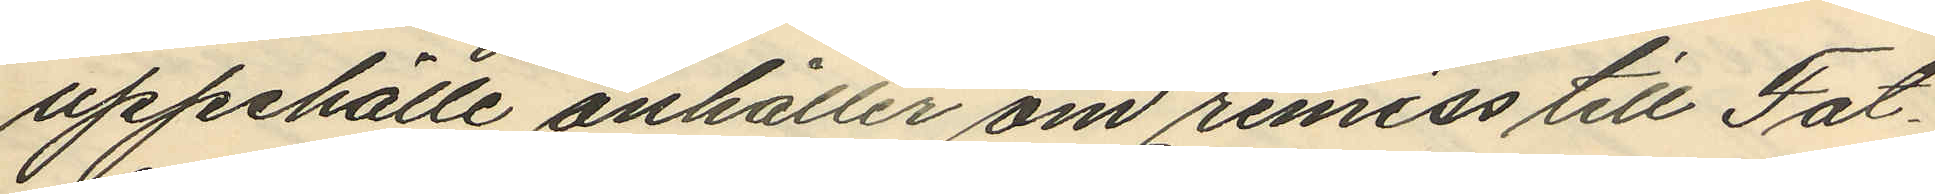uppehälle anhåller om remiss till Fat¬
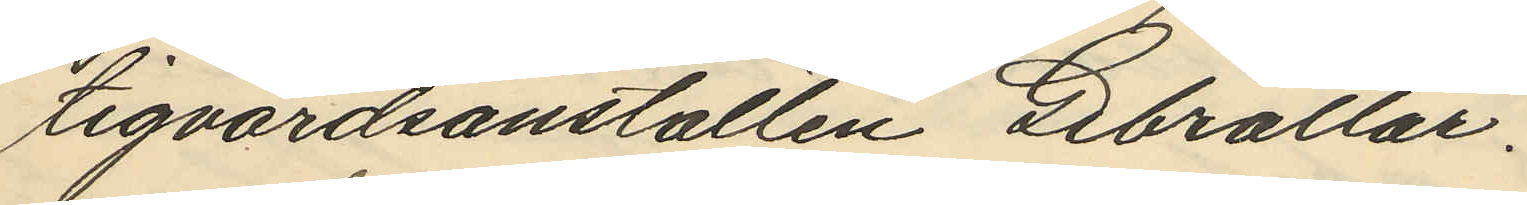tigvårdsanstalten Gibraltar.
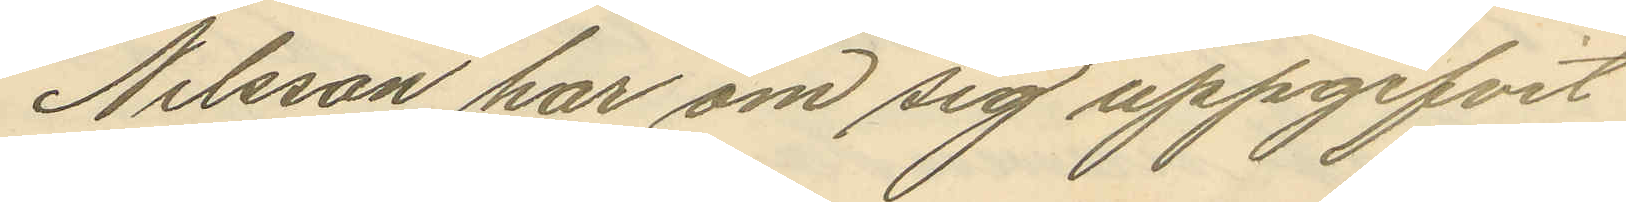Nilsson har om sig uppgifvit
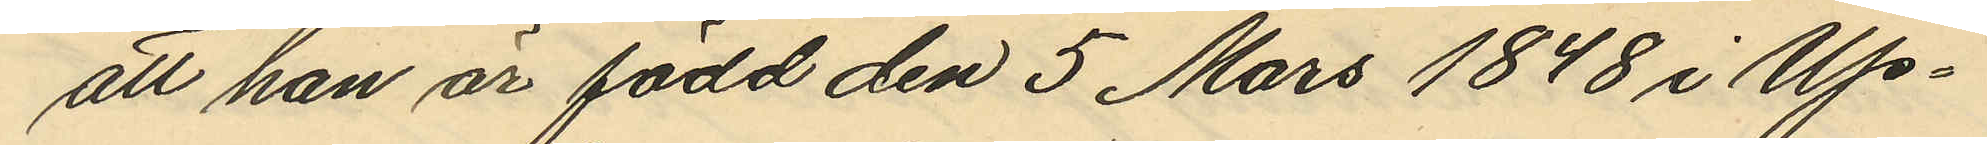att han är född den 5 Mars 1848 i Up¬
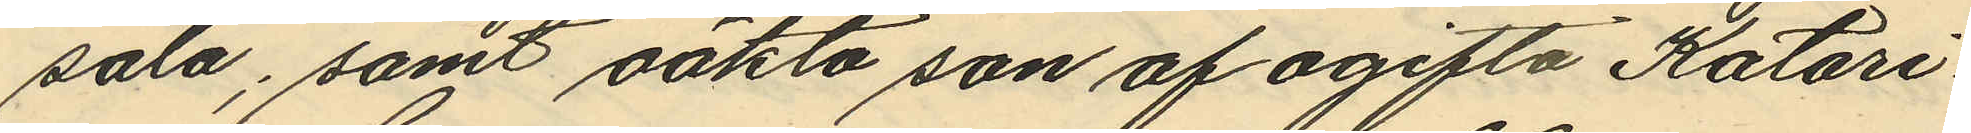sala; samt oäkta son af ogifta Katari¬
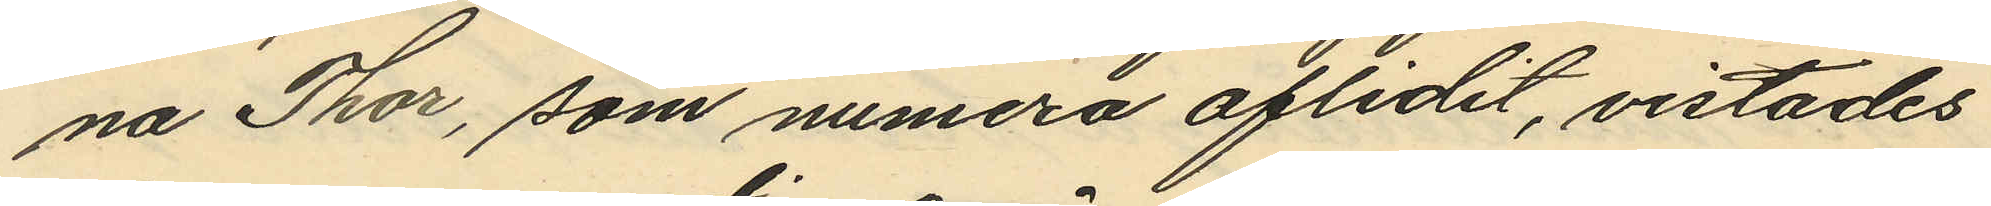na Thor, som numera aflidit, vistades
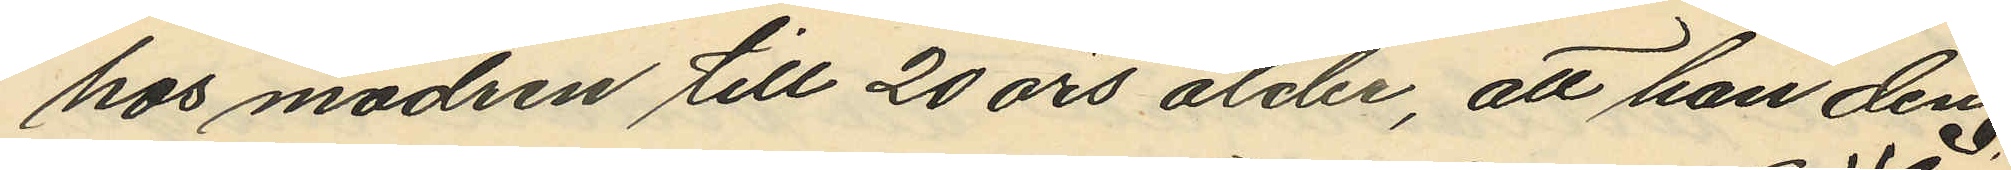hos modren till 20 års ålder, att han den
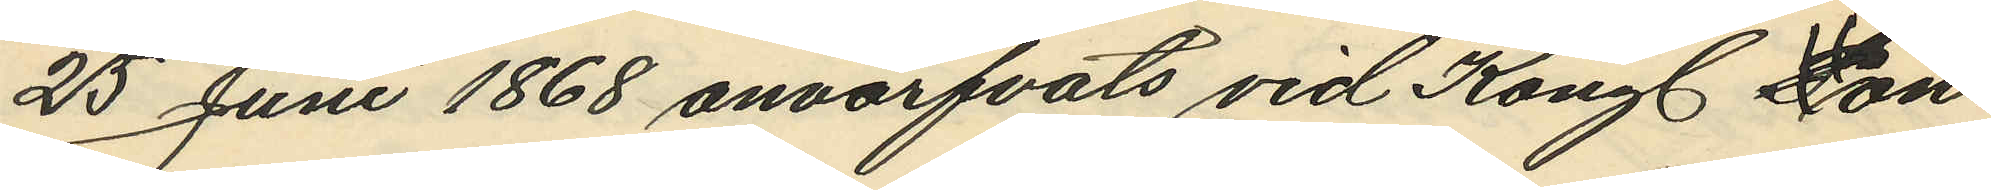25 Juni 1868 anvärfvats vid Kongl. Pon¬
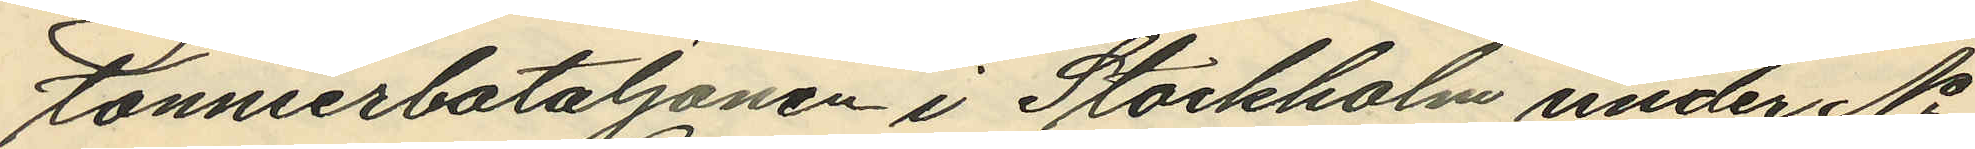tonnierbataljonen i Stockholm under No
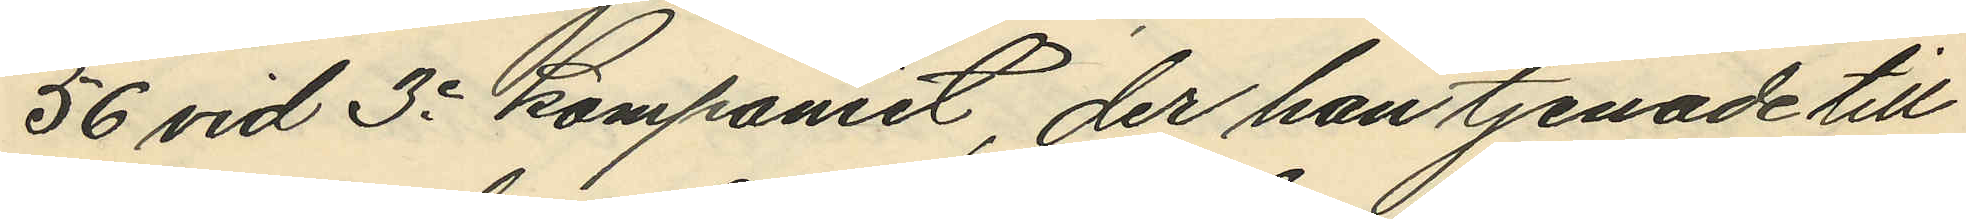56 vid 3e Kompaniet, der han tjenade till
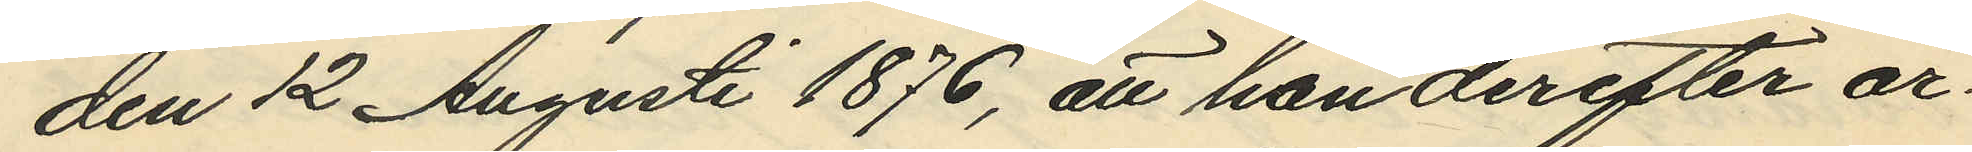den 12 Augusti 1876, att han derefter ar¬
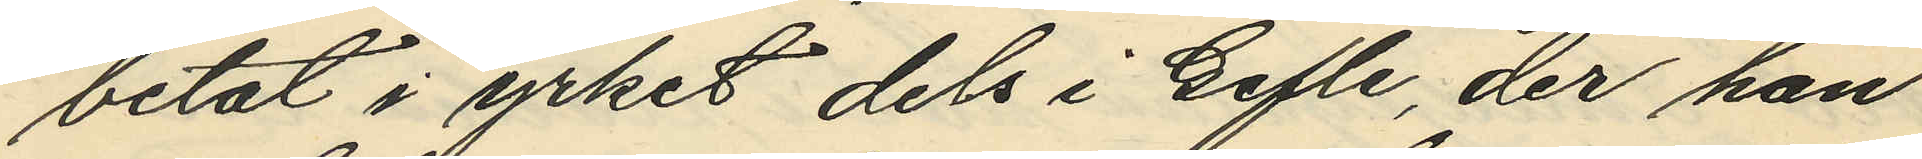betat i yrket dels i Gefle, der han
